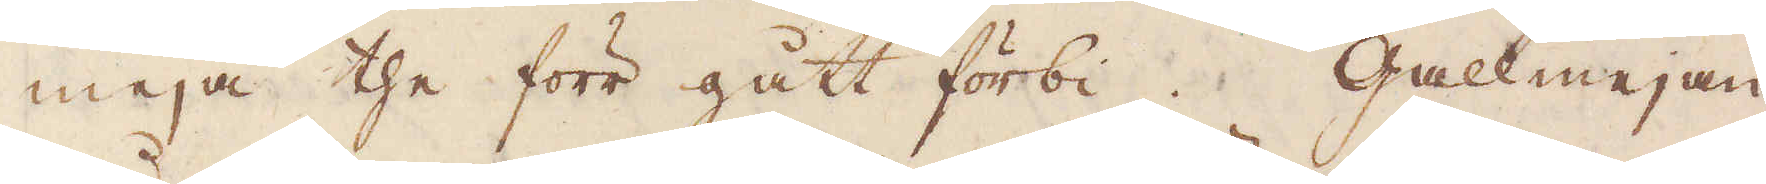meja the förr gått förbi. Gallmejan
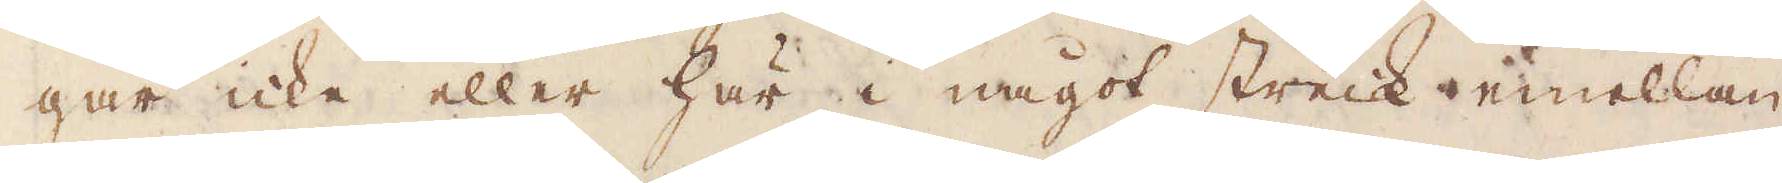går icke eller här i något streck emellan
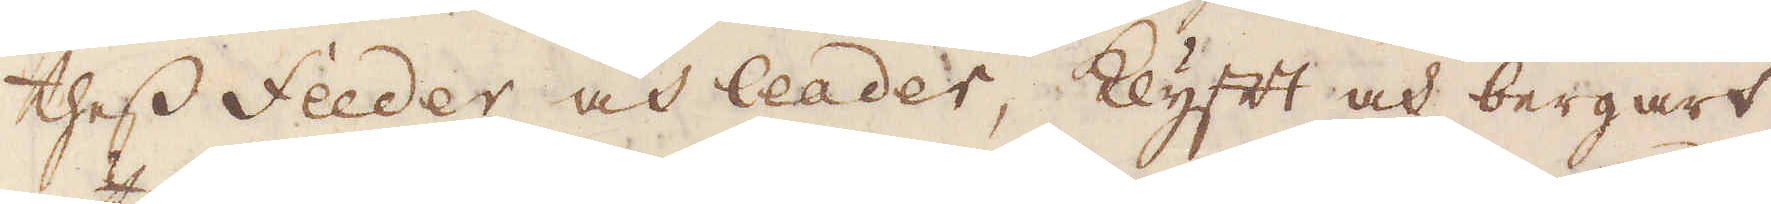thess feeder och leader, klyft och bergart,
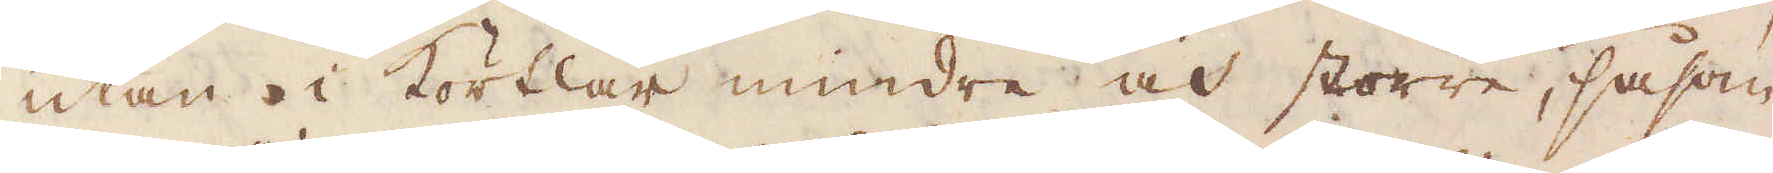utan i Körtlar mindre och större, såsom
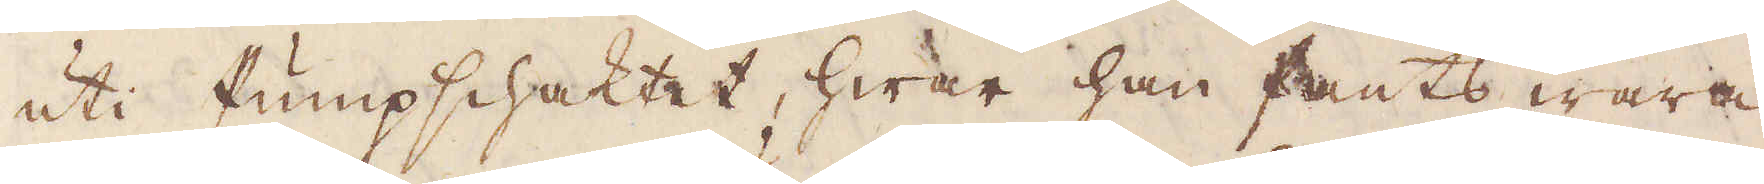uti Pumpschaktet, hwar han fants wara
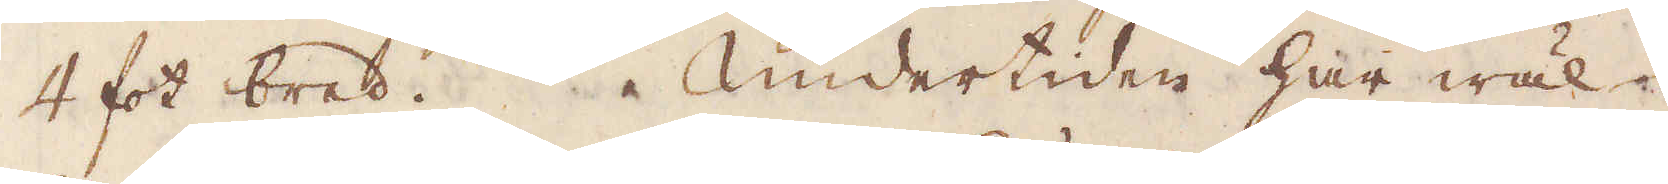4 fot bred. Undertiden har wäl
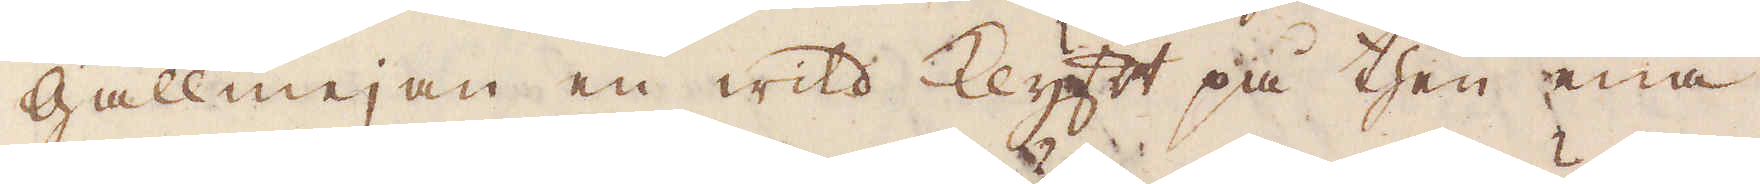gallmejan en wild Klyft på then ena
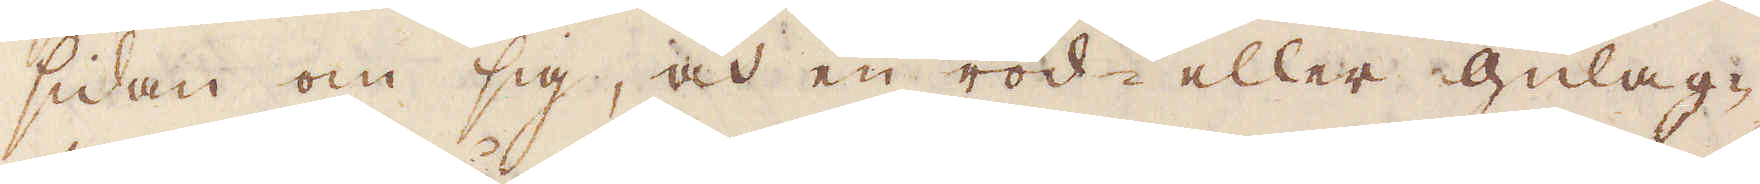sidan om sig, och en röd- eller Gulag-
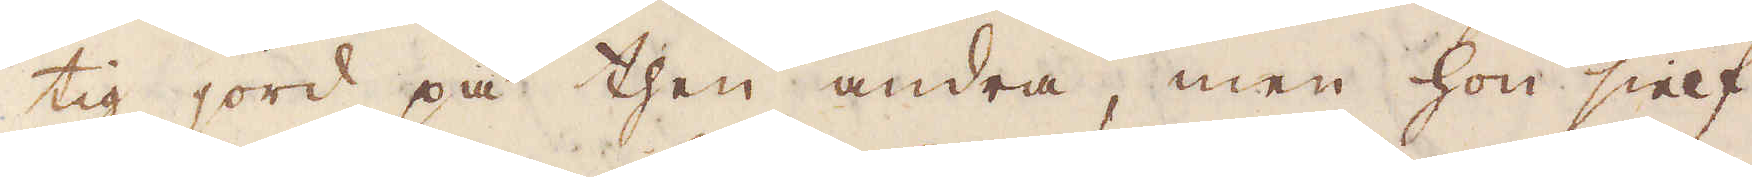tig jord på then andra, men hon sielf
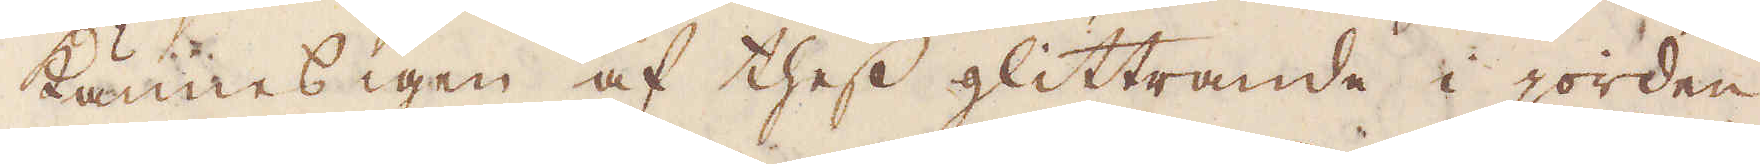kännes igen af thess glittrande i jorden.
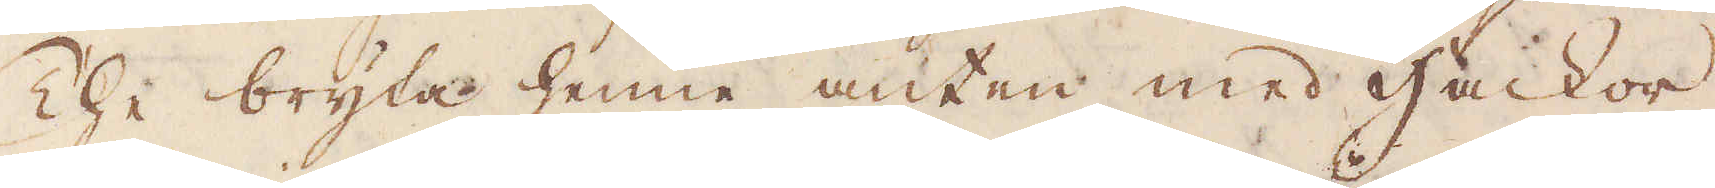The bryta henne anten med Hackor
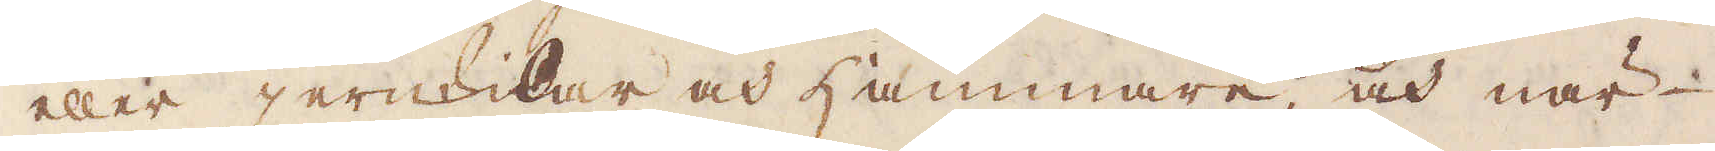eller jernkilar och hammare; och när
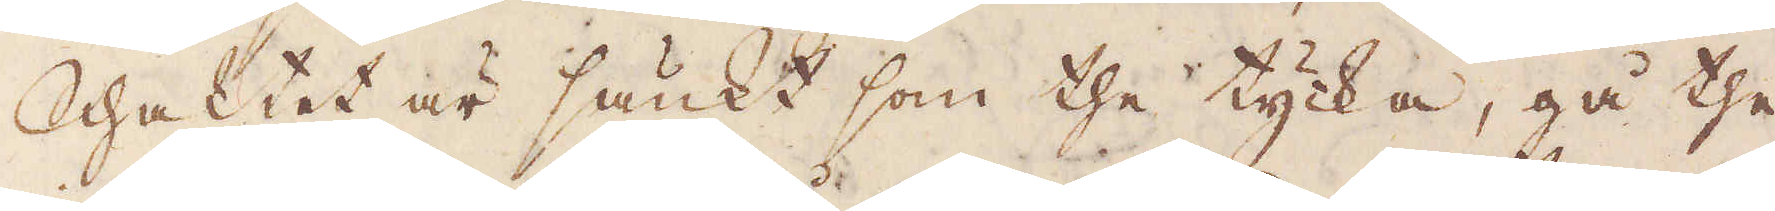Schaktet är sänkt som the tycka, gå the
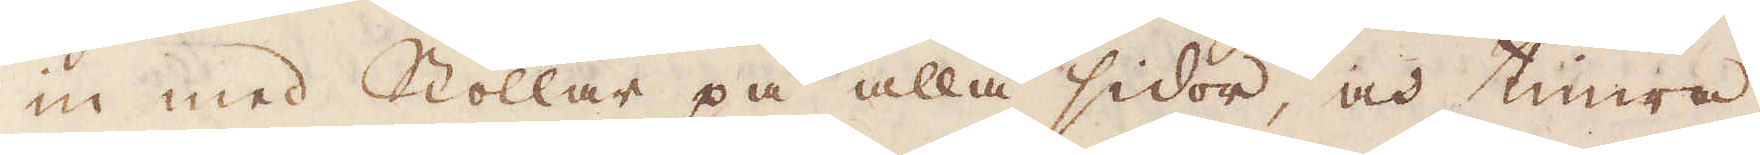in med Stollar på alla sidor, och timra,
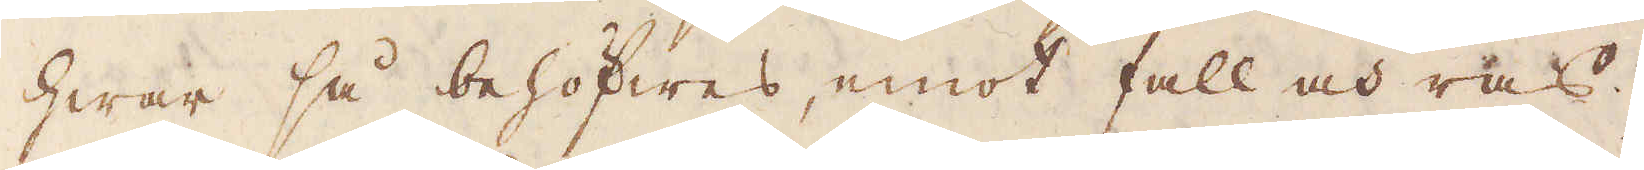hwar så behöfwes, emot fall och ras.
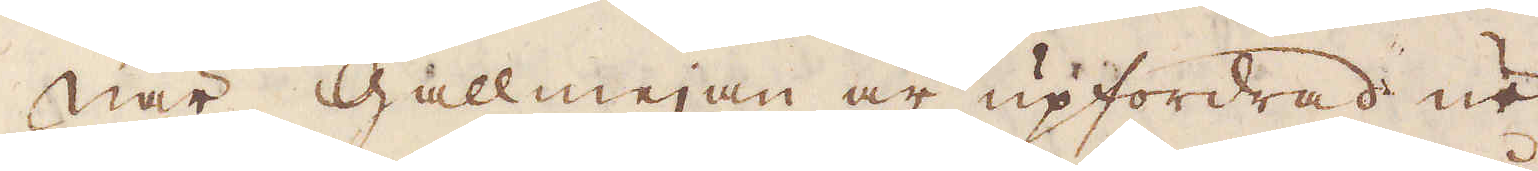När Gallmejan är upfordrad ur
